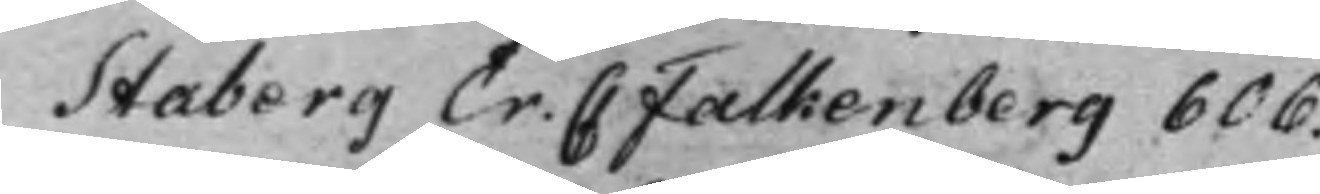Staberg Er. C Falkenberg 606.
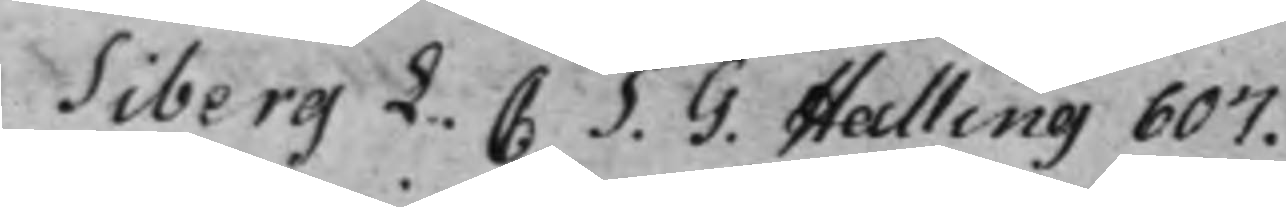Siberg L. C S. G. Halling 607.
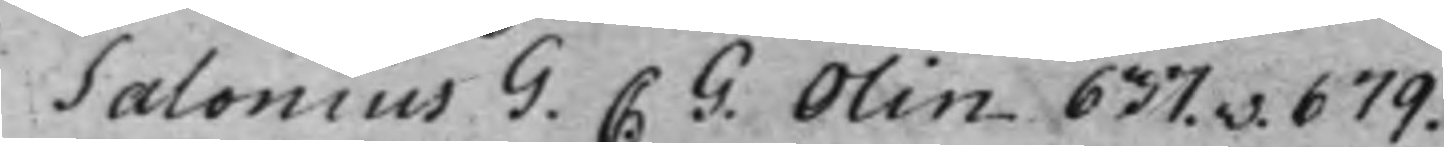Salonius G. C. G. Olin 637.v. 679.
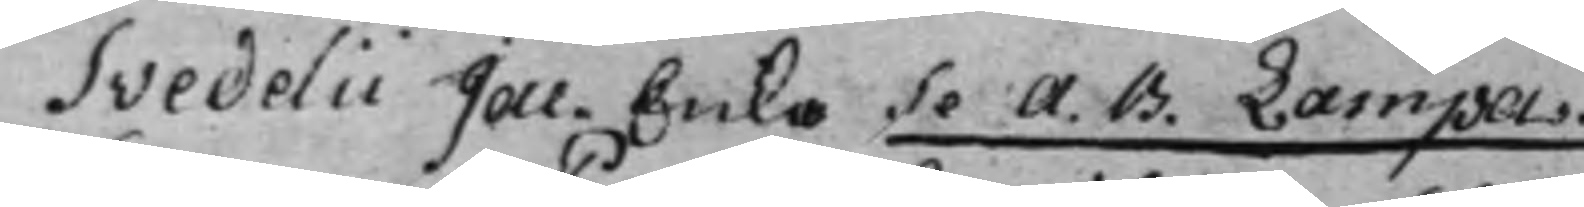Svedelii Jac. Enka Se A. B. Lampa.
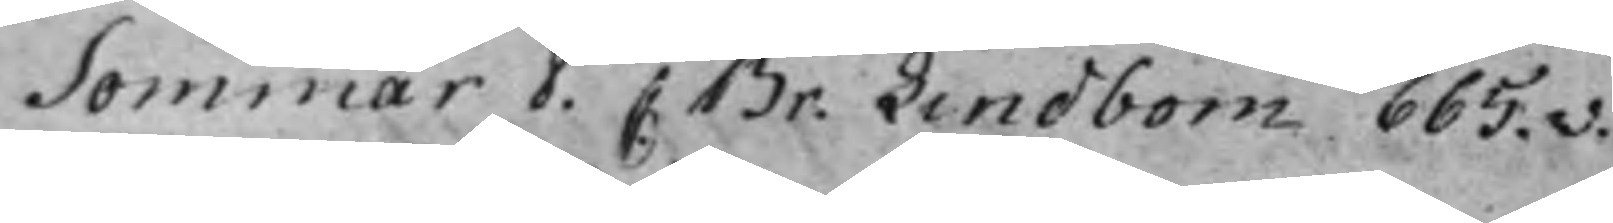Sommar P. C Br. Lindbom 665.v.
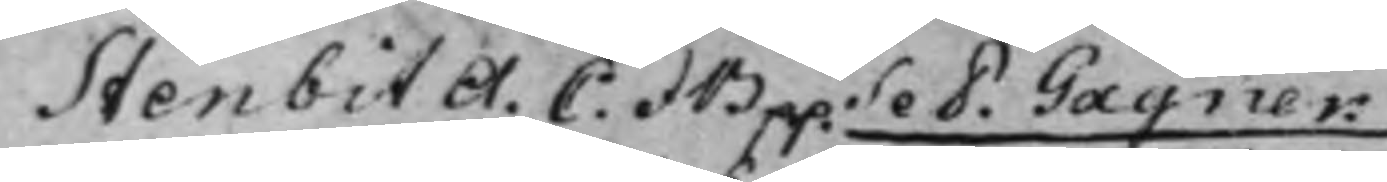Stenbit A. C: et B p.p. Se P. Gagner.
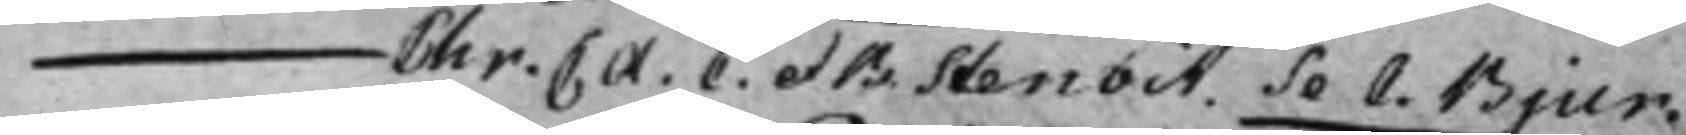— Chr. C. A. C. et B. Stenbit. Se C. Bjur.
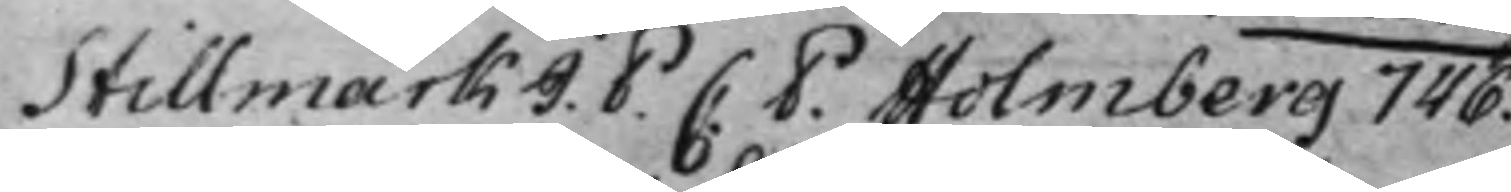Stillmark J. P. C. P. Holmberg 746.
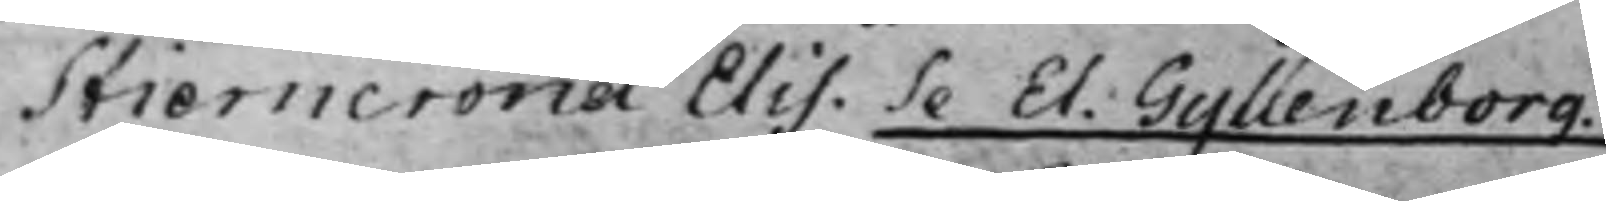Stierncrona Elis. Se El. Gyllenborg.
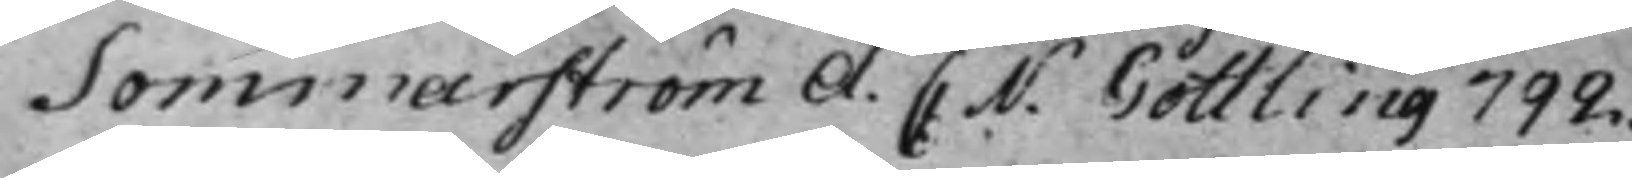Sommarström A. C. N. Gottling 792.
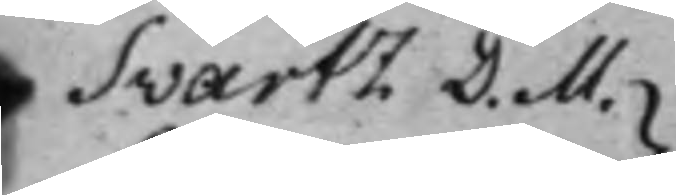Svartz D. M.
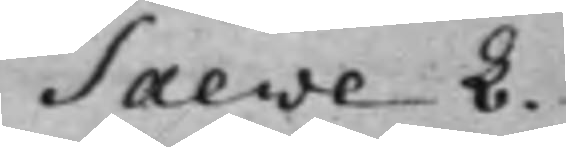Saeve L.
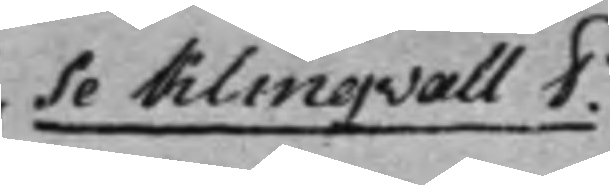} Se Klingvall P.
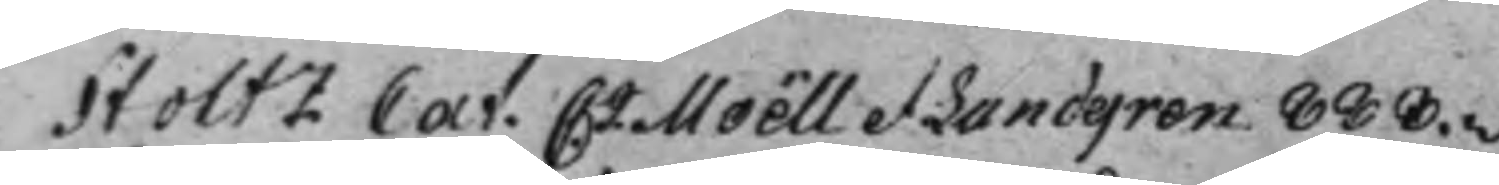Stoltz Cat. C. J. Moëll et Lundgren 888.v.
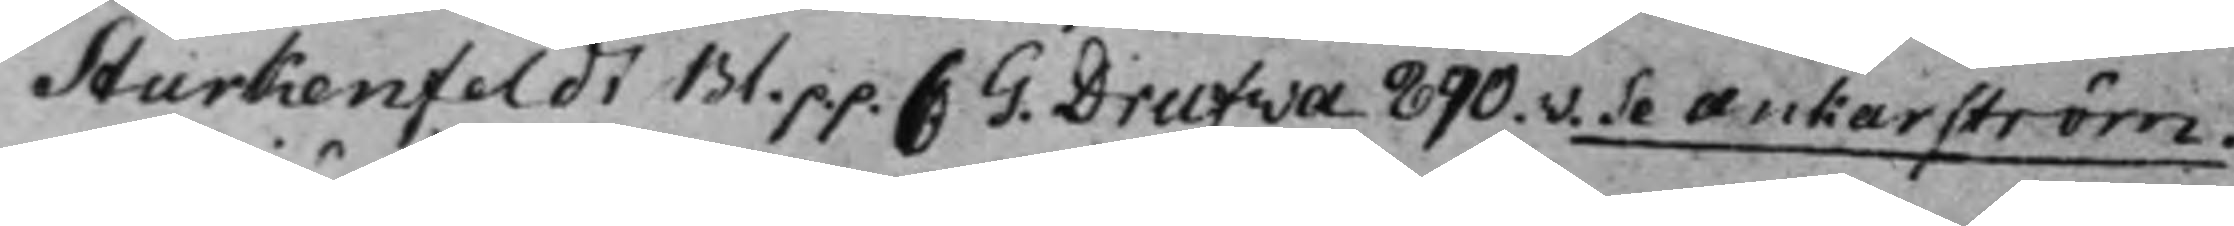Sturkenfeldt Bl. p.p. C. G. Drufva 890.v. Se Ankarström.
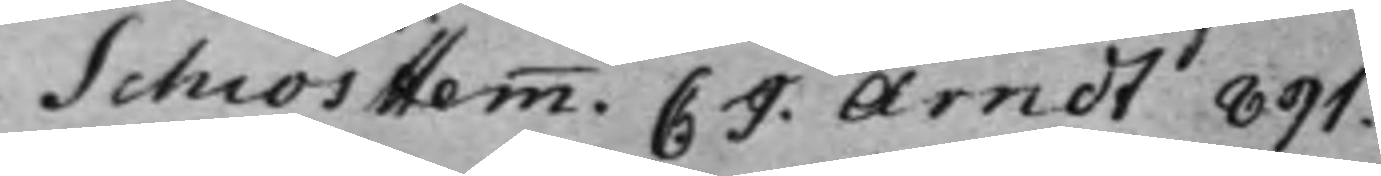Schiös Hemm. C J. Arndt 891.
